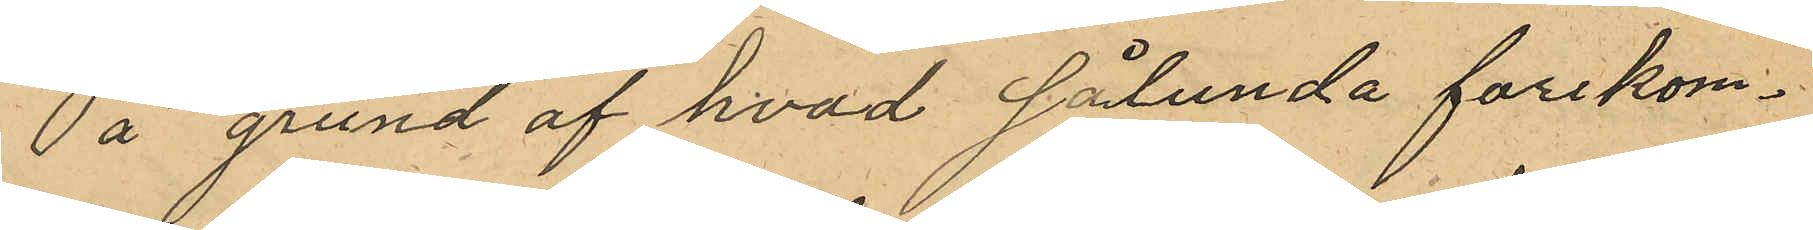På grund af hvad sålunda förekom¬
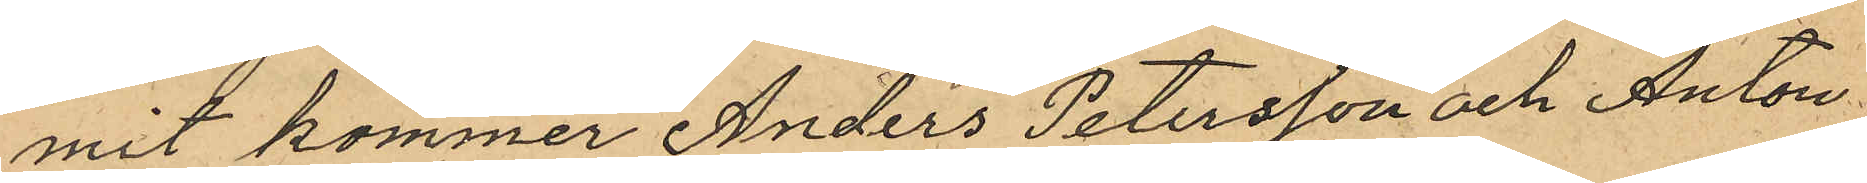mit kommer Anders Petersson och Anton
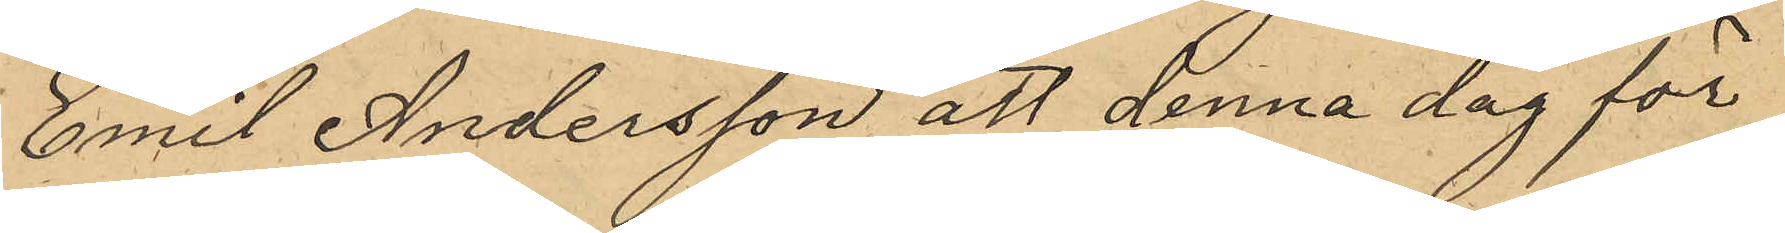Emil Andersson att denna dag för
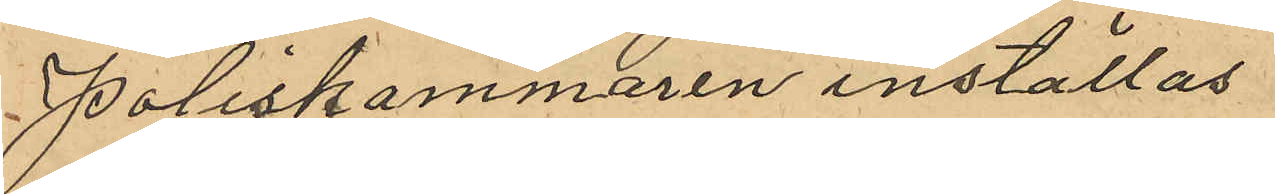Poliskammaren inställas
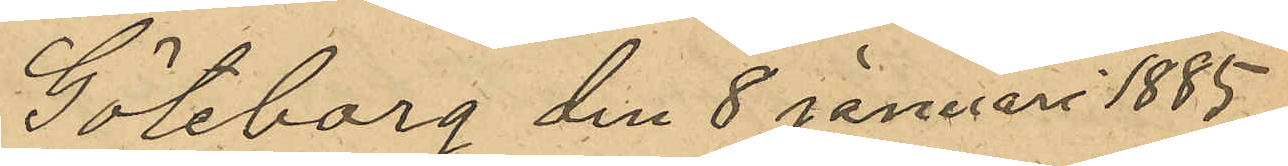Göteborg den 8 Januari 1885.
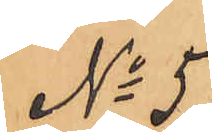No 5
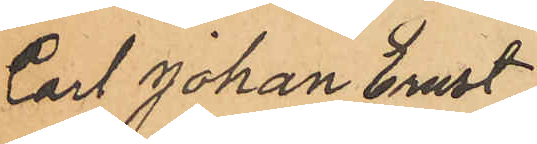Carl Johan Ernst
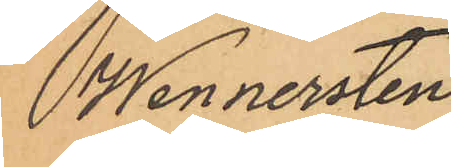Wennersten
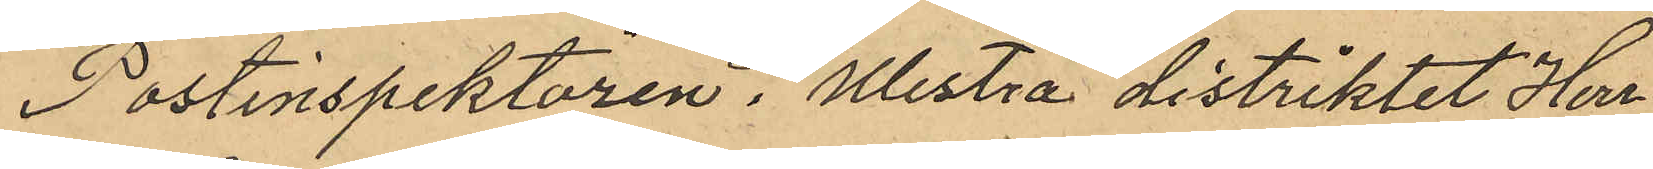Postinspektören i Westra distriktet Herr
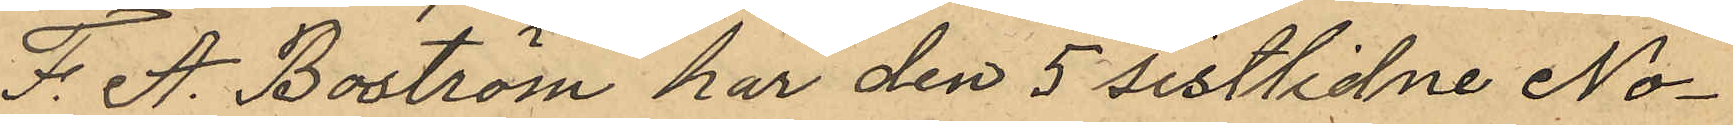F. A. Boström har den 5 sistlidne No¬
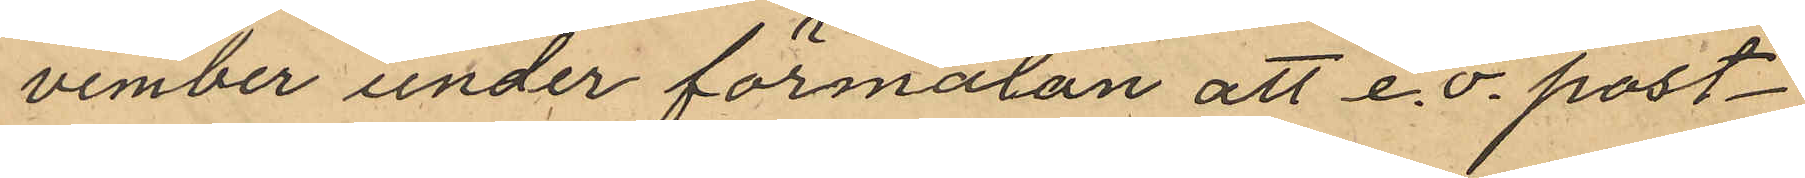vember under förmälan att e.o. post¬
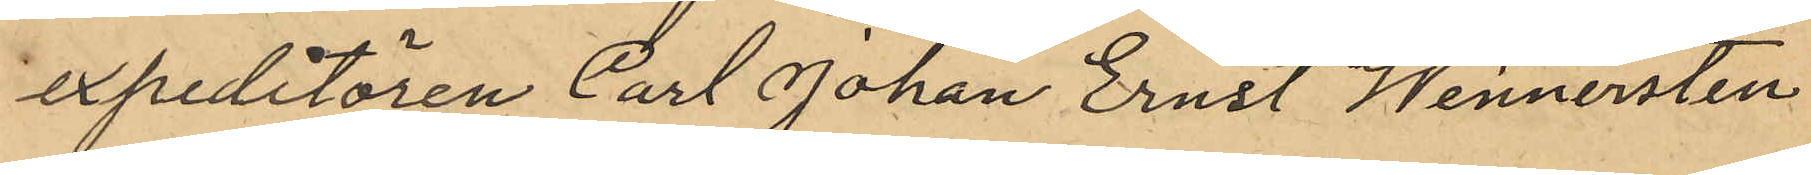expeditören Carl Johan Ernst Wennersten
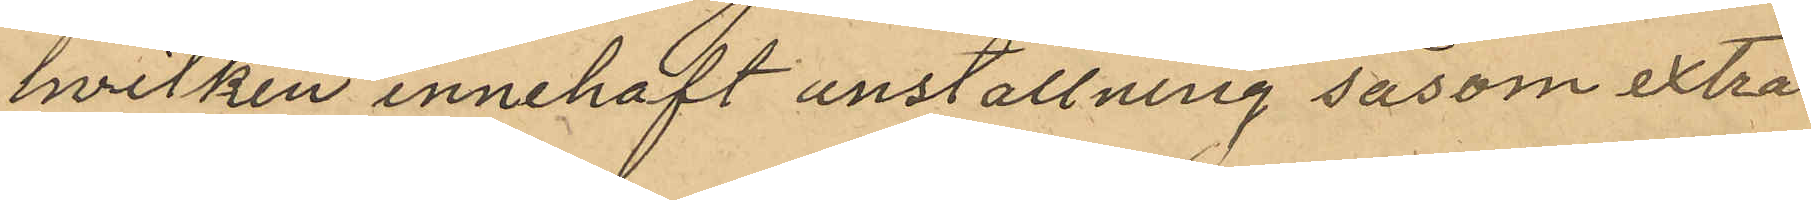hvilken innehaft anställning såsom extra
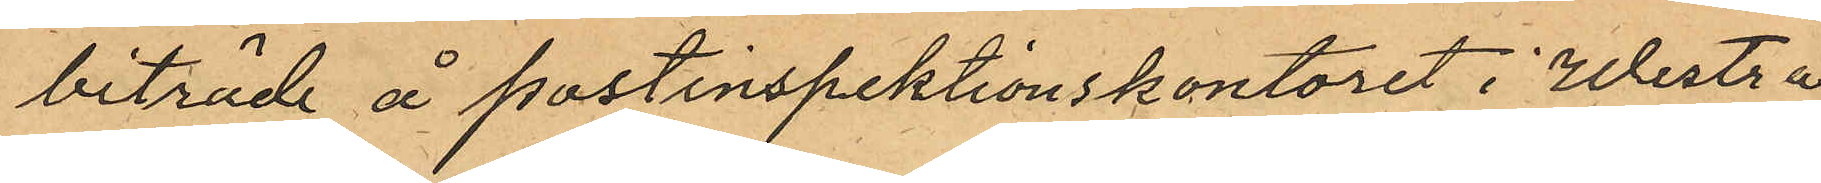biträde å postinspektionskontoret i Westra
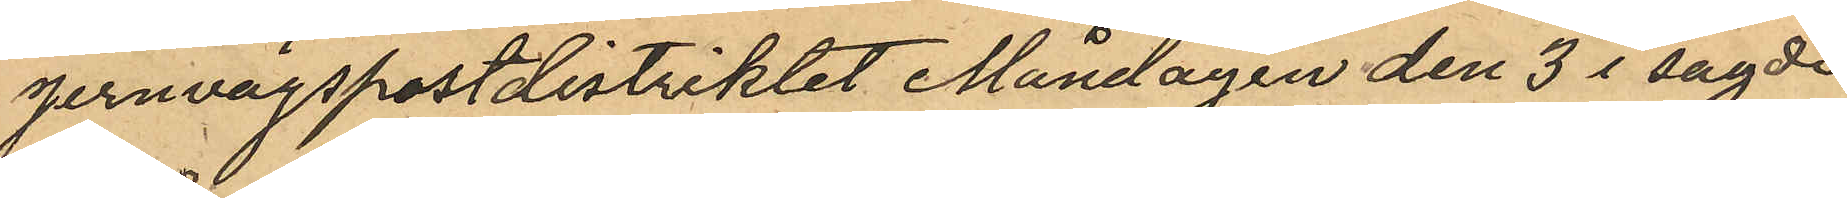jernvägspostdistriktet Måndagen den 3 i sagde
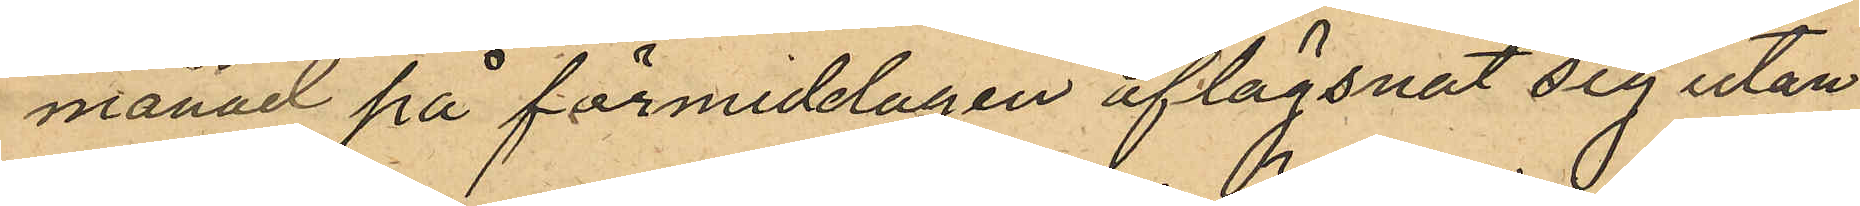månad på förmiddagen aflägsnat sig utan
